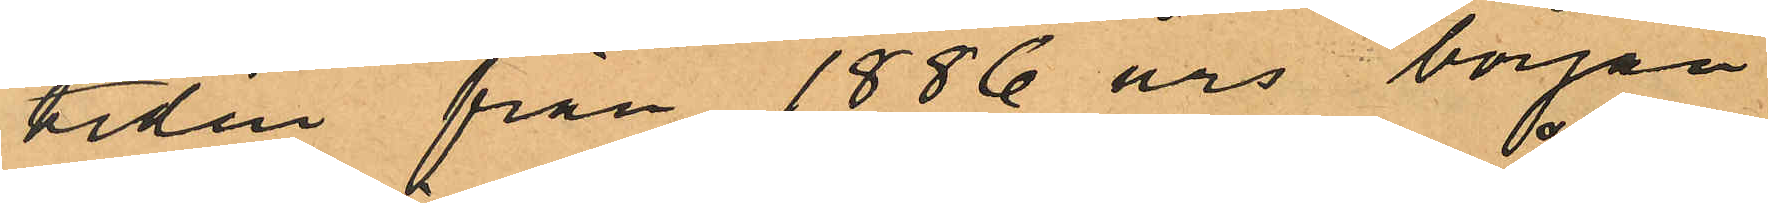tiden från 1886 års början
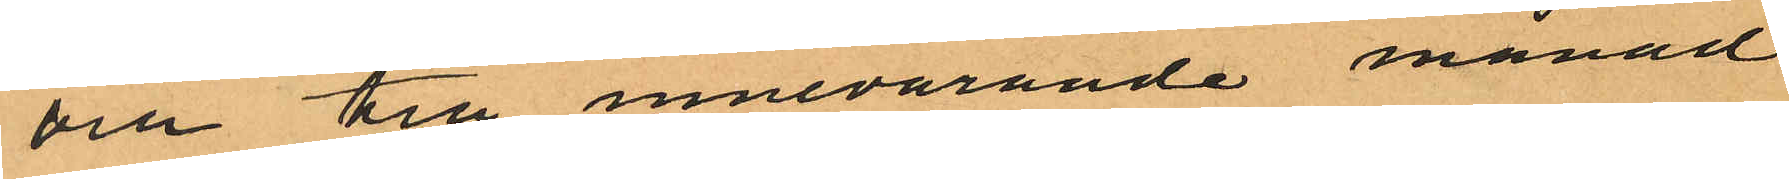och till innevarande månad
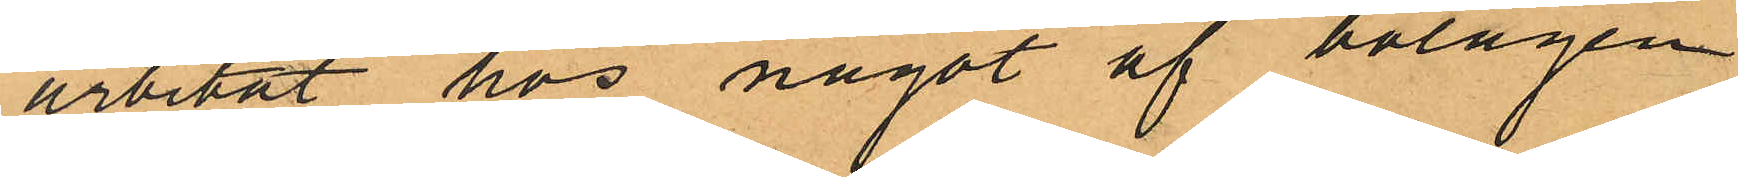arbetat hos något af bolagen
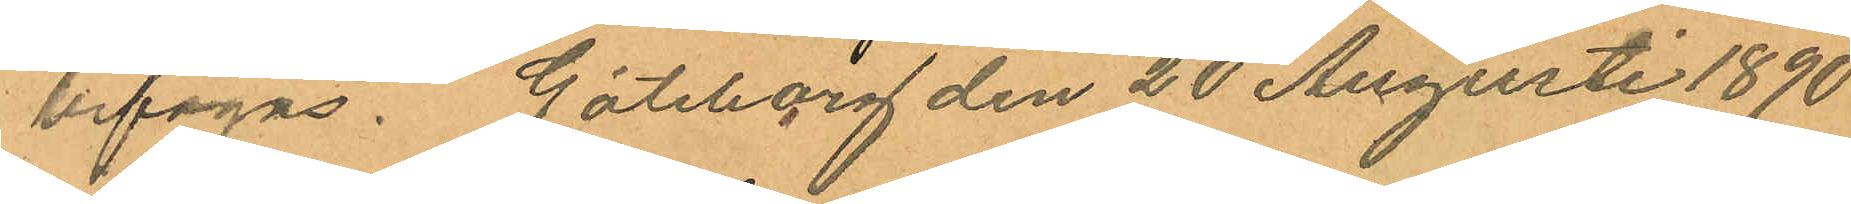bifogas. Göteborg den 20 Augusti 1890
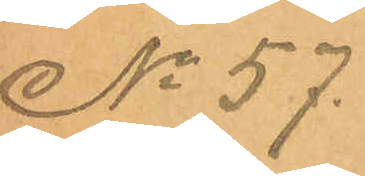No 57.
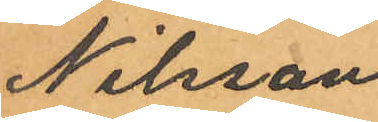Nilsson
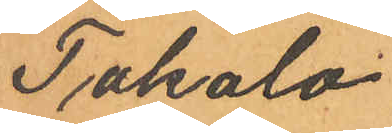Takalo.
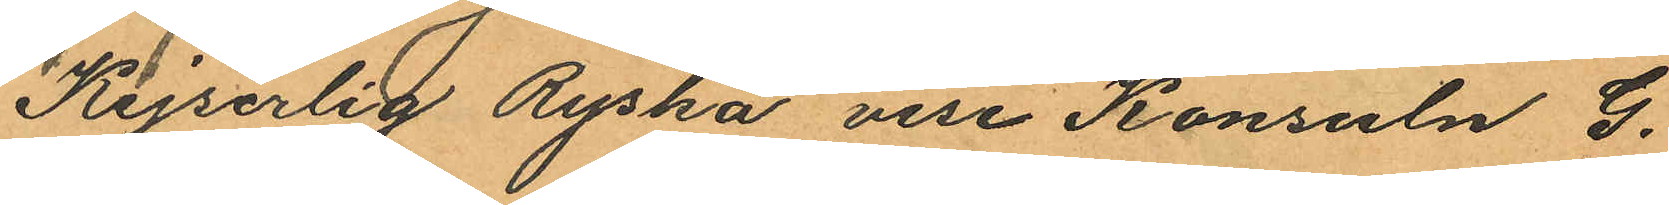Kejserlig Ryska vise Konsuln G.
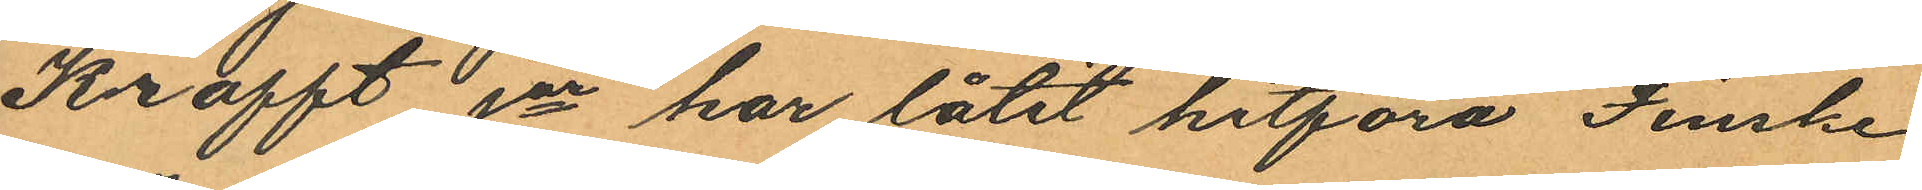Krafft Jor har låtit hitföra Finske
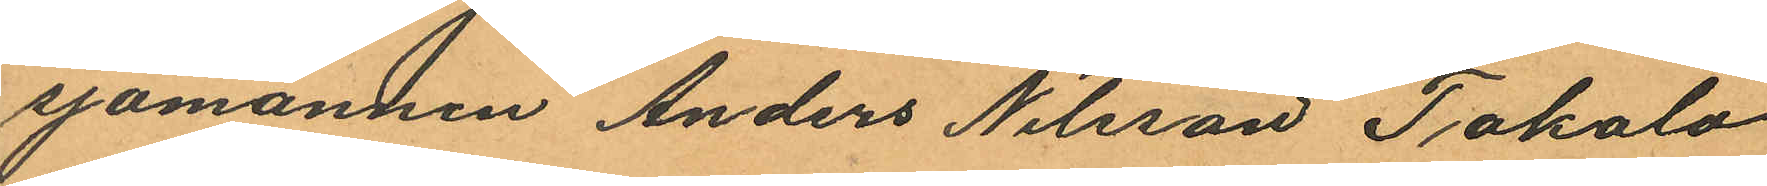sjömannen Anders Nilsson Takalo
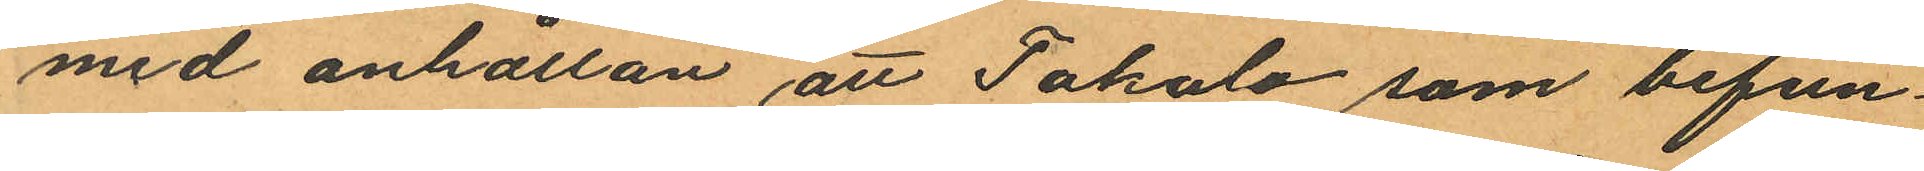med anhållan att Takalo som befun¬
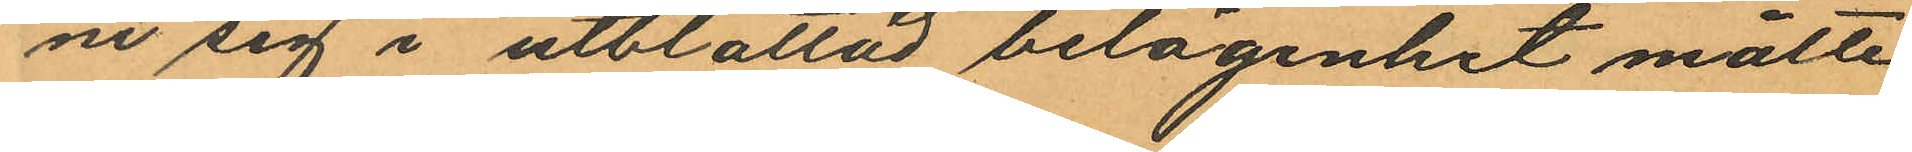ne sig i utblottad belägenhet måtte
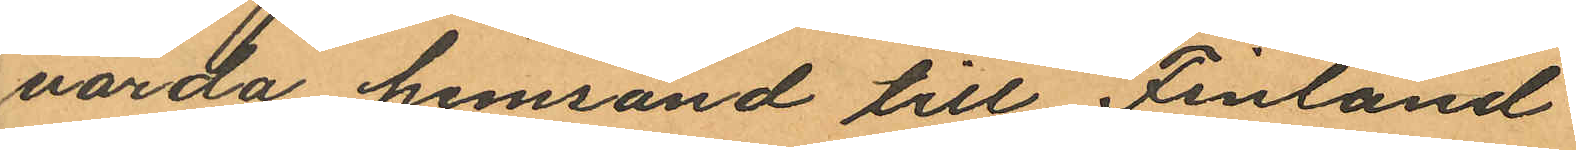varda hemsänd till Finland.
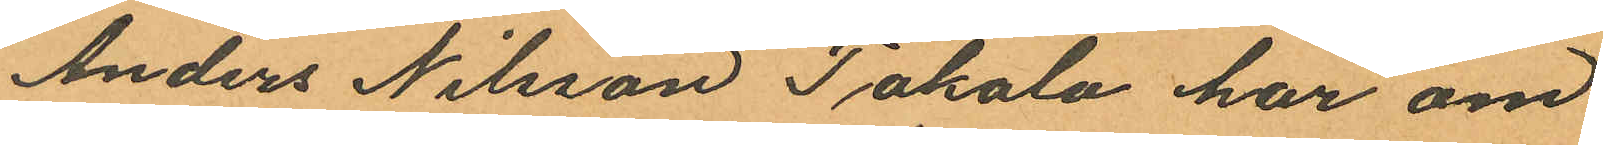Anders Nilsson Takalo har om
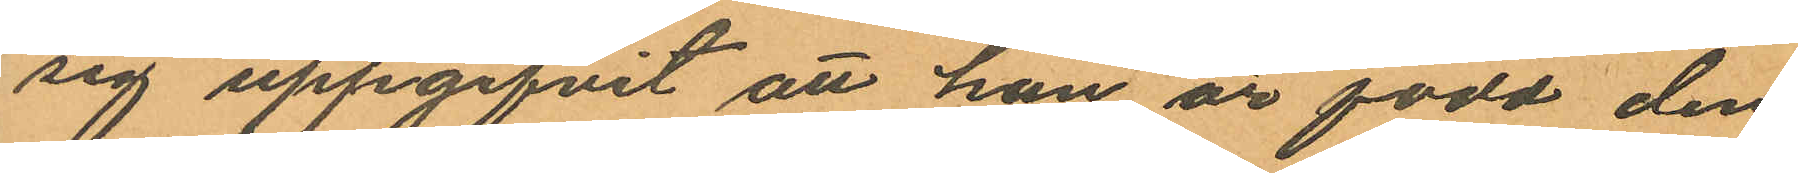sig uppgifvit att han är född den
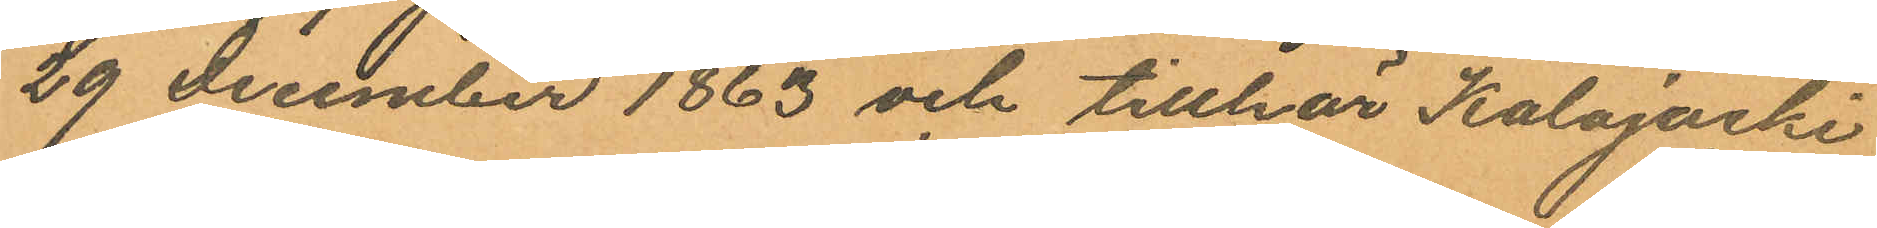29 december 1863 och tillhör Kalojacki
